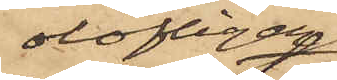olofligen
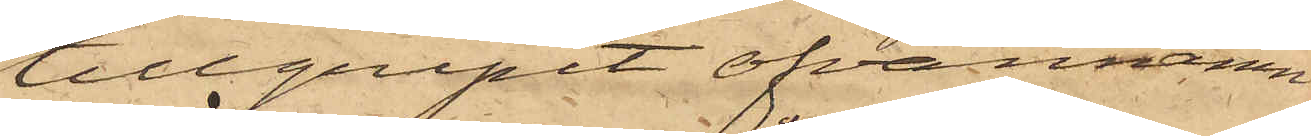tillgripit ofvannämn¬
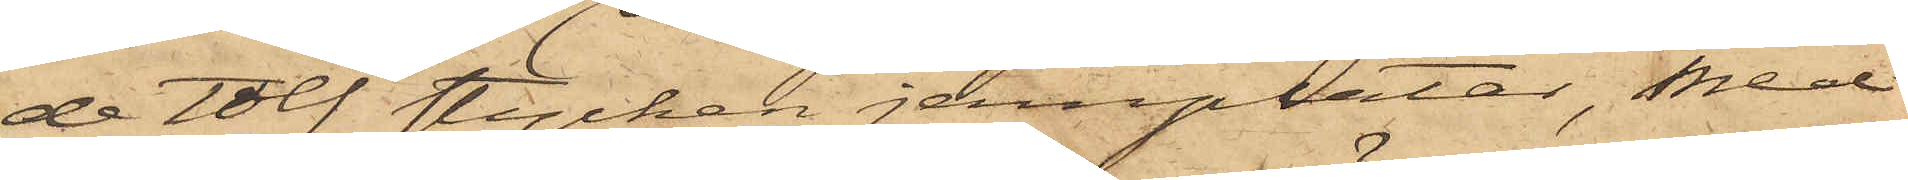de Tolf stycken jernplåtar, med
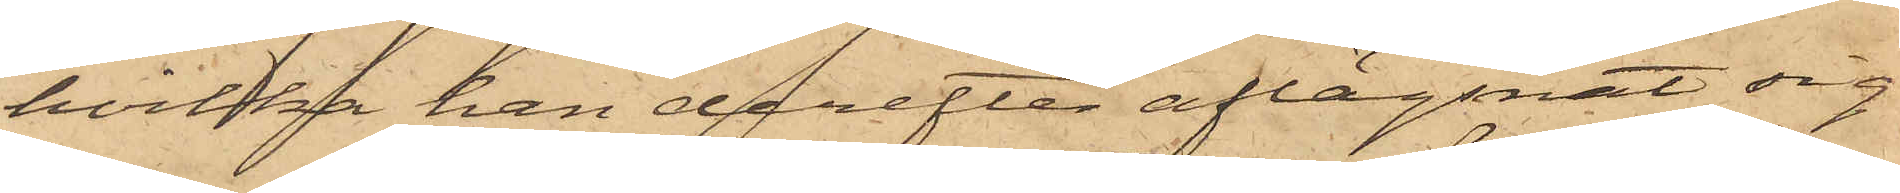hvilka han derefter aflägsnat sig
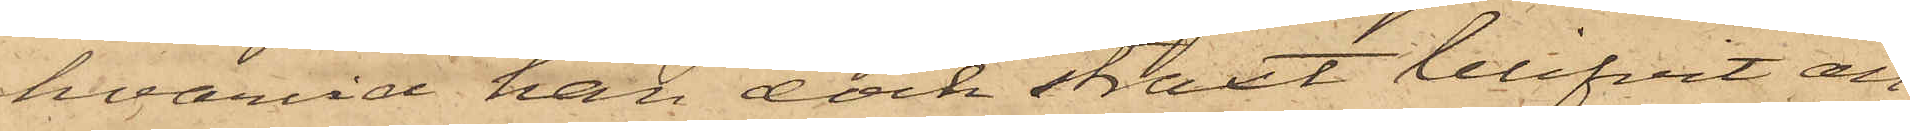hvarvid han dock straxt blifvit an¬
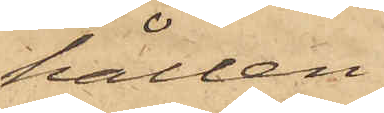hållen.
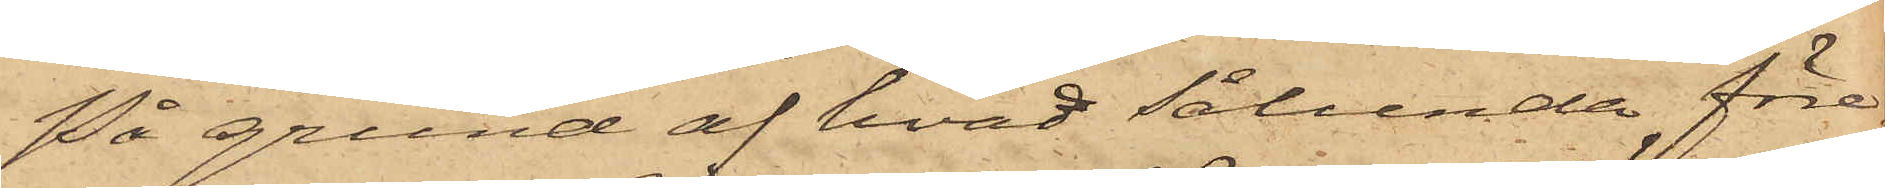På grund af hvad sålunda före¬
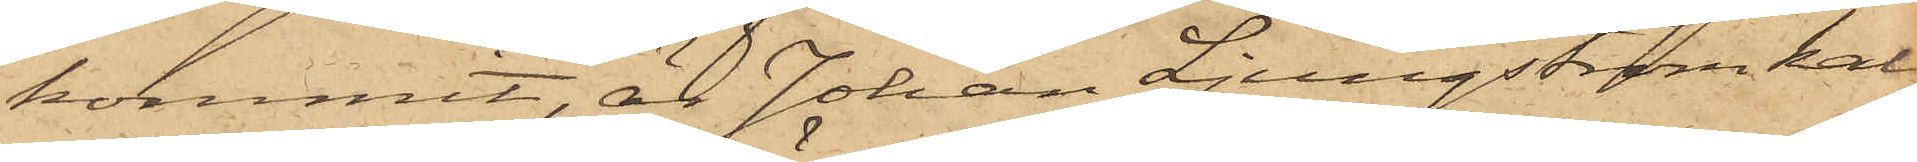kommit, är Johan Ljungström kal¬
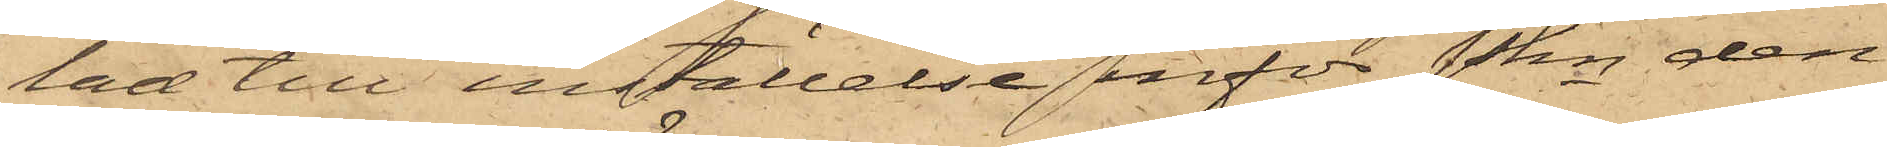tad till inställelse inför Pkn den
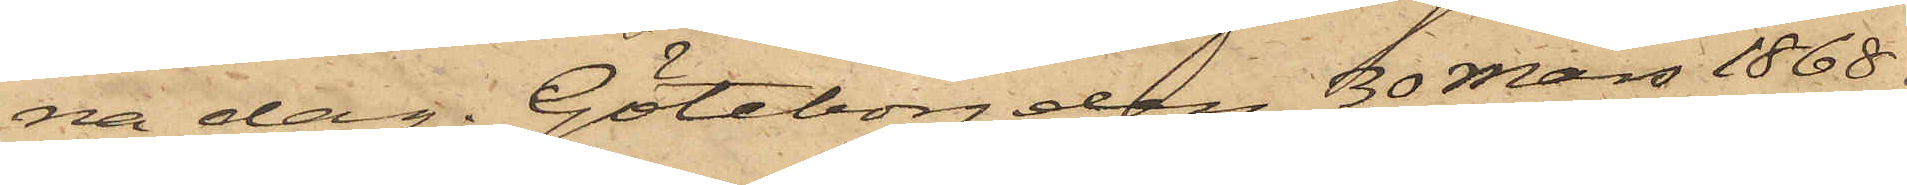na dag. Göteborg den 30 Mars 1868.
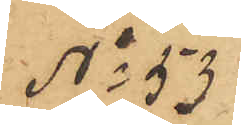No 53
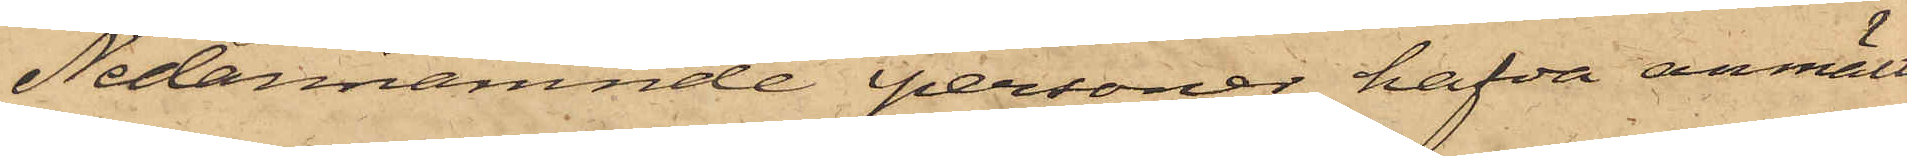Nedannämnde personer hafva anmält:
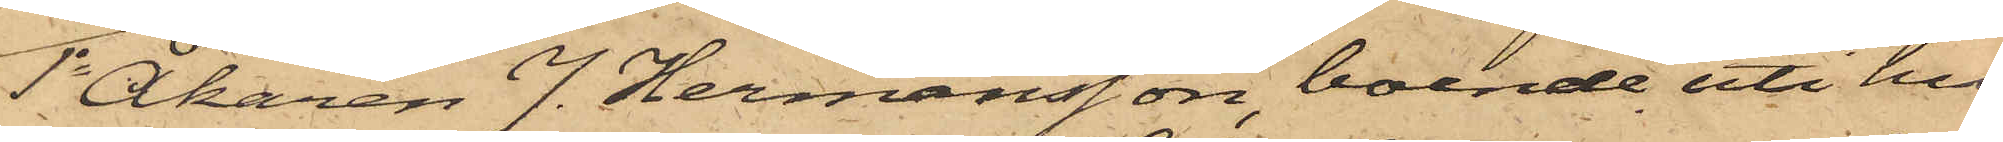1o Åkaren J. Hermansson, boende uti hu¬
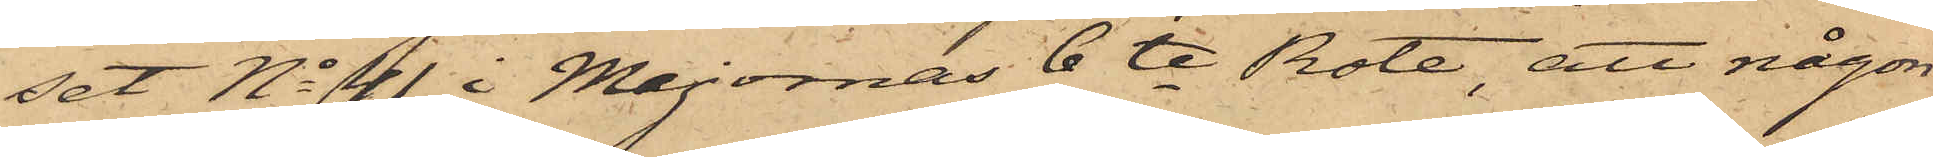set No 41 i Majornas 6te Rote, att någon
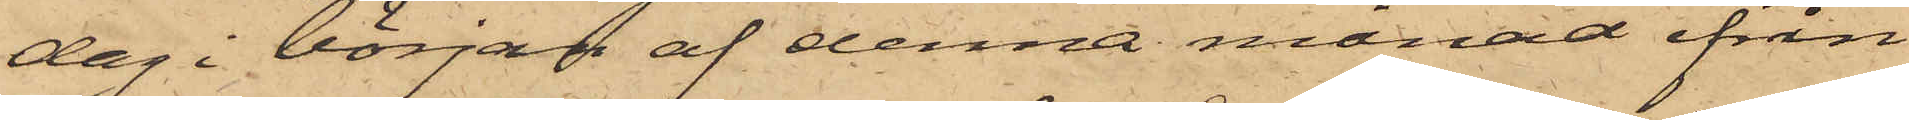dag i början af denna månad ifrån
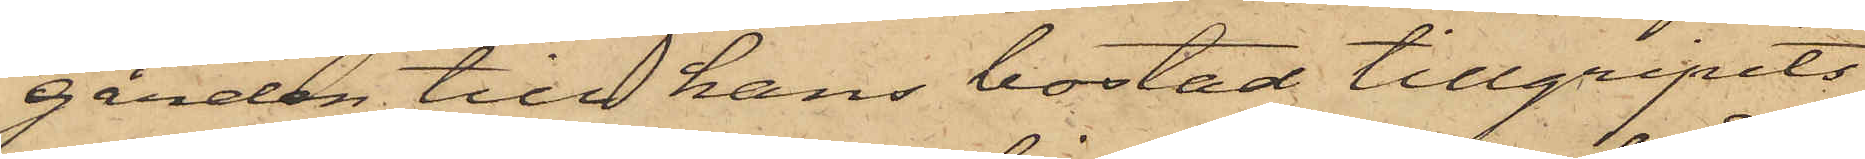gården till hans bostad tillgripits
